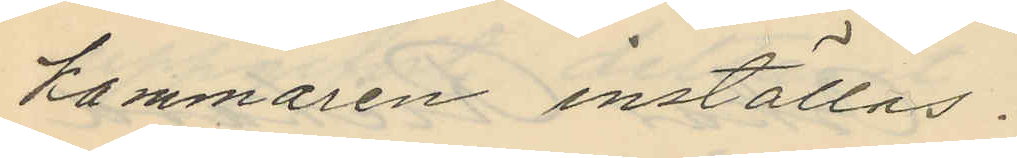kammaren inställas.
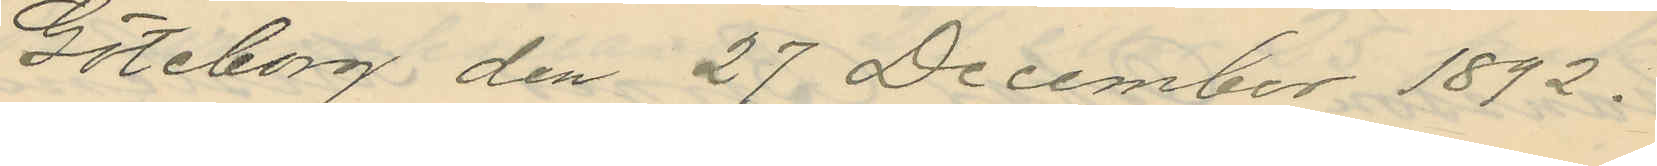Göteborg den 27 December 1892.
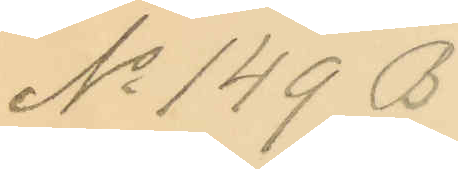No 149 B.
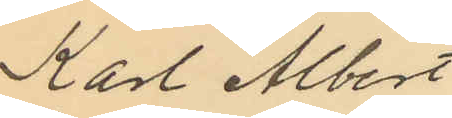Karl Albert
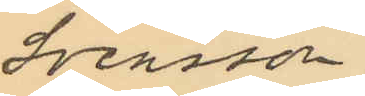Svensson
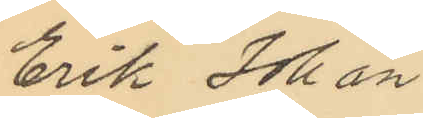Erik Johan
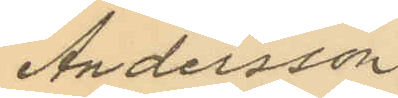Andersson
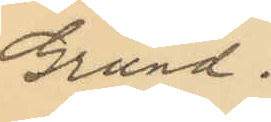Grund.
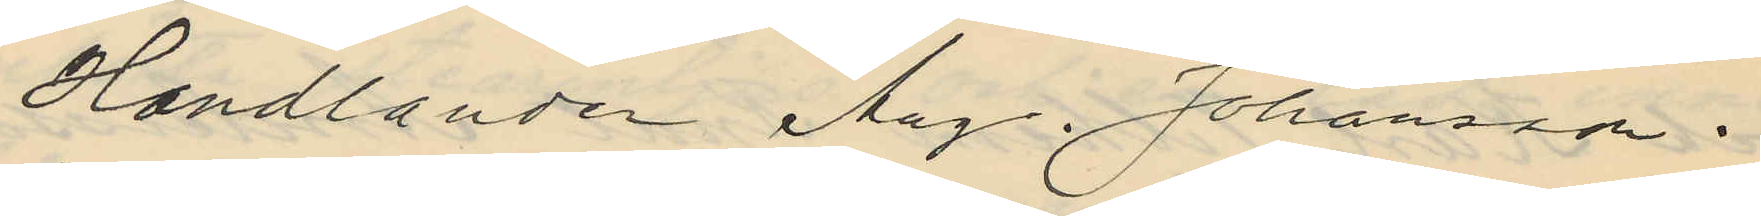Handlanden Aug. Johansson
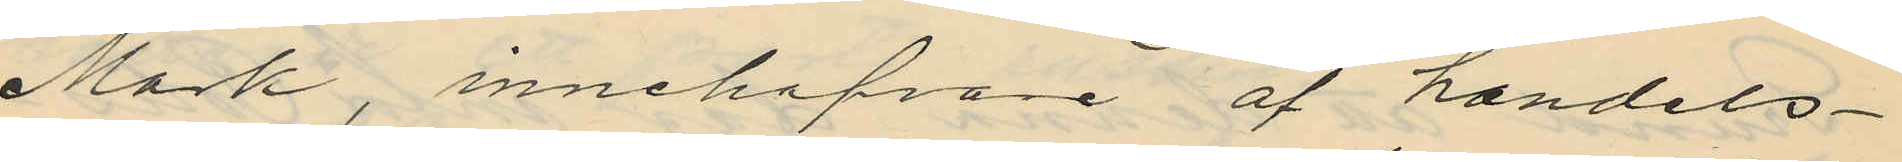Mark, innehafvare af handels¬
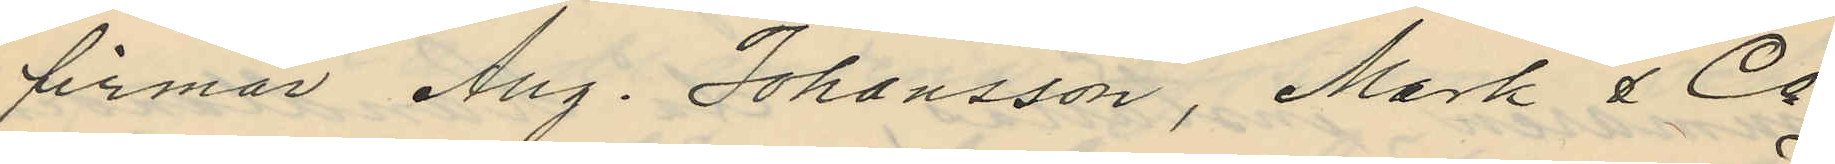firman Aug. Johansson, Mark & Co
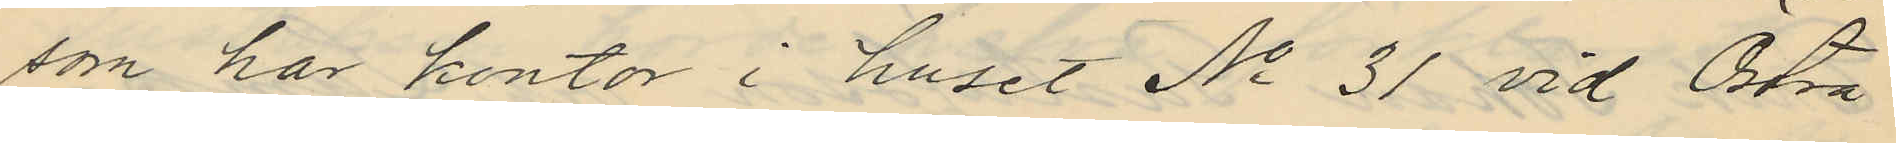som har kontor i huset No 31 vid Östra
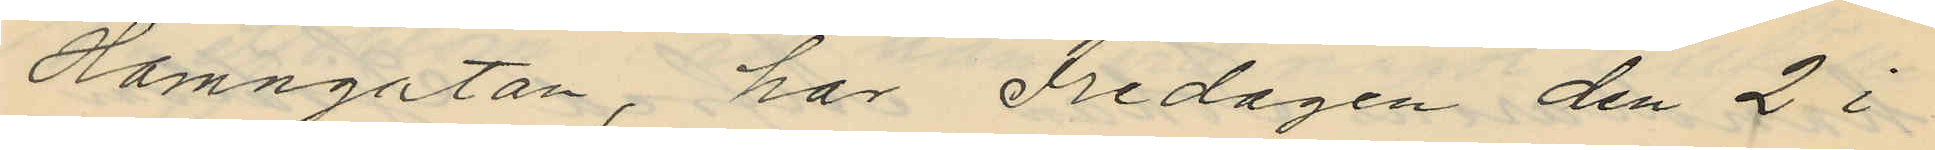Hamngatan, har Fredagen den 2 i
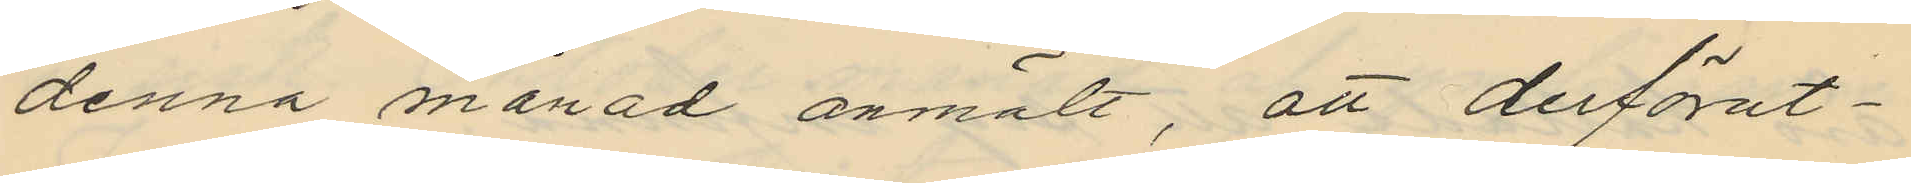denna månad anmält, att derförut¬
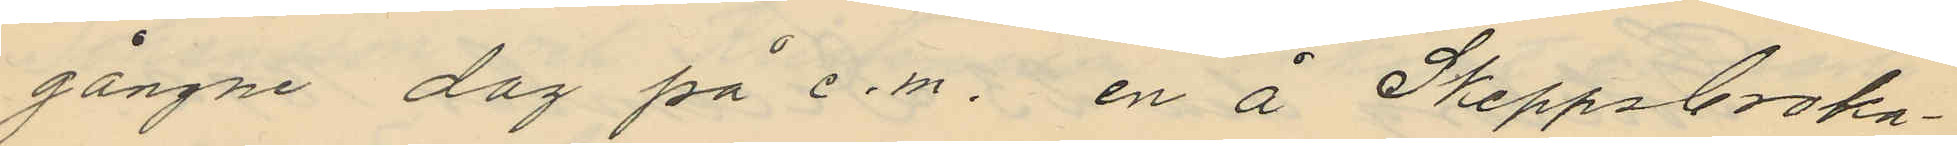gångne dag på e.m. en å Skeppsbroska¬
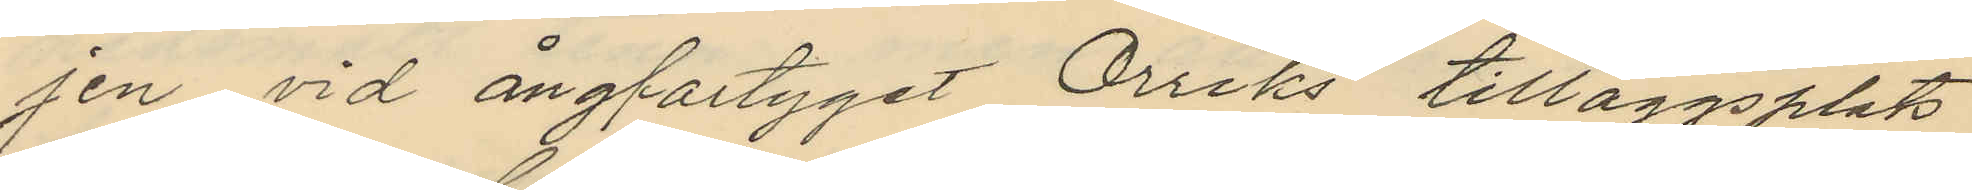gen vid ångfartyget Orriks tilläggsplats
